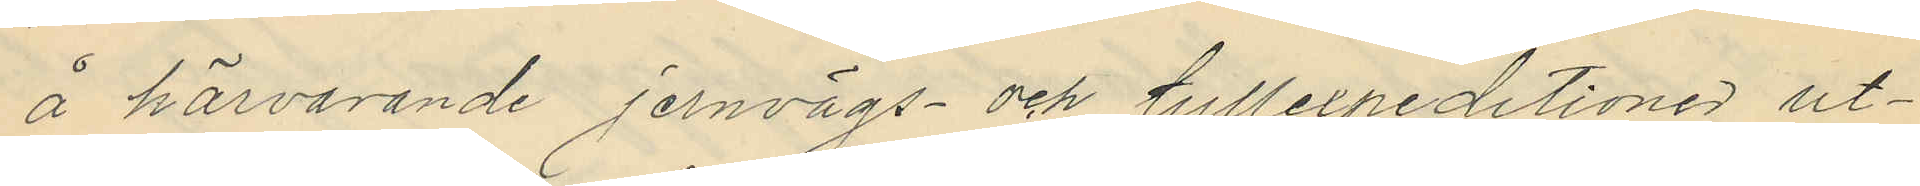å härvarande jernvägs och tillexpeditioner ut¬
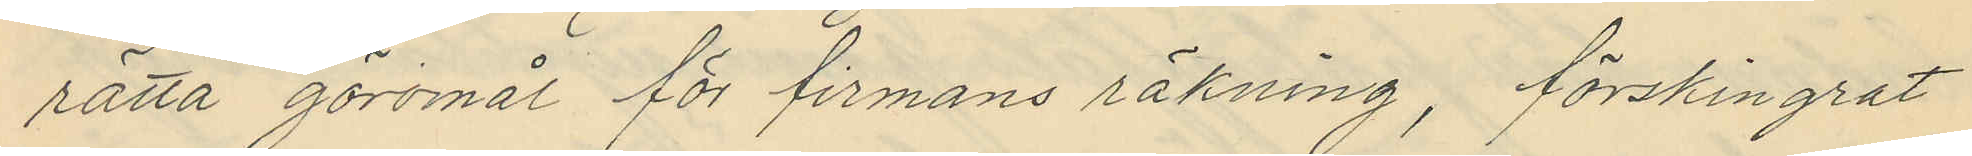rätta göromål för firmans räkning, förskingrat
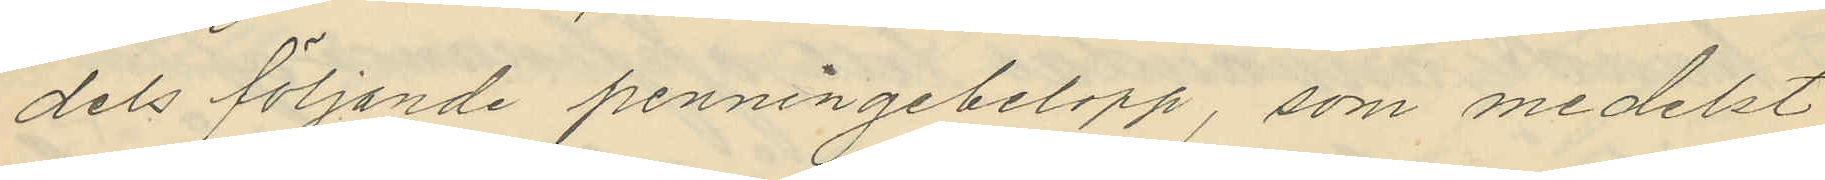dels följande penningebelopp, som medelst
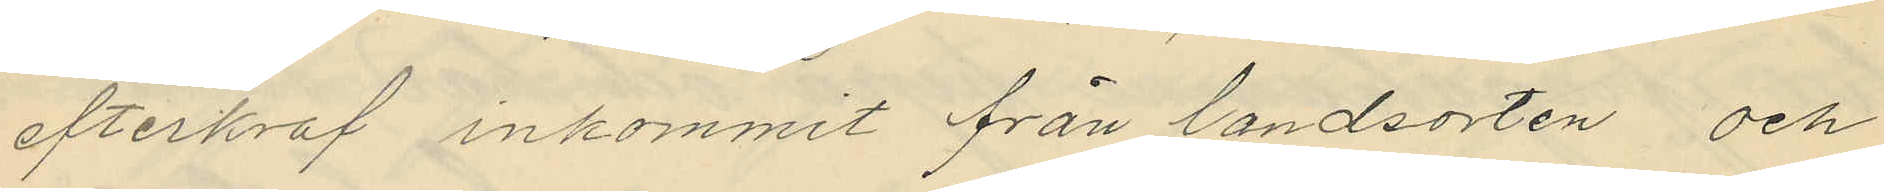efterkraf inkommit från landsorten och
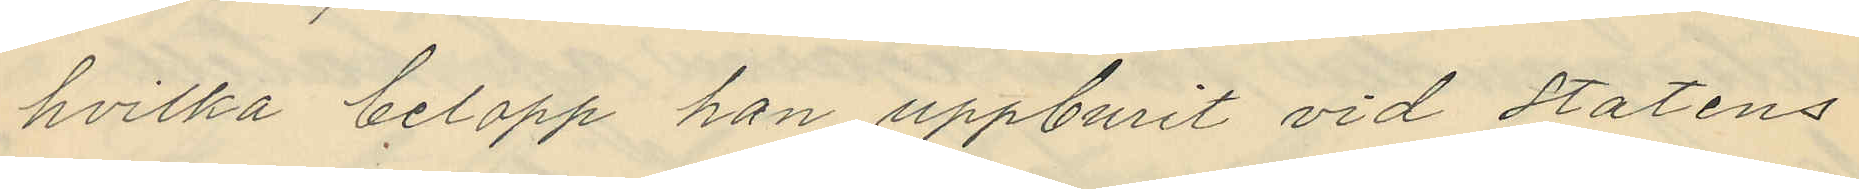hvilka belopp han uppburit vid Statens
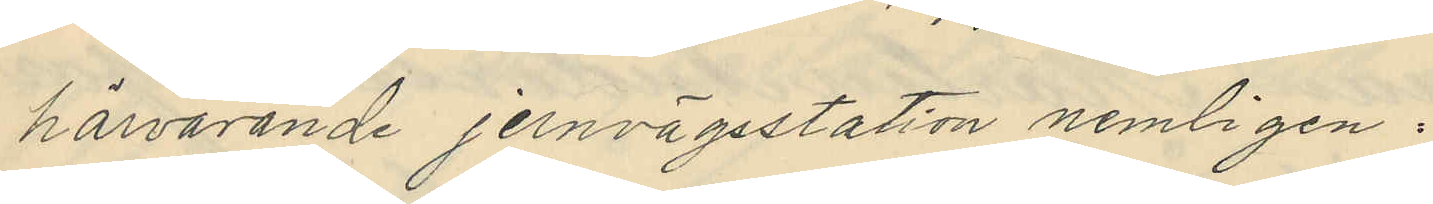härvarande jernvägsstation nemligen:
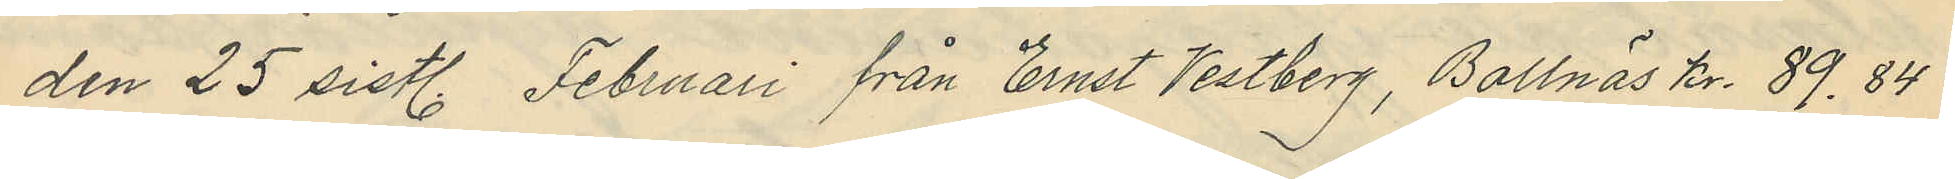den 25 sistl. Februari från Ernst Vestberg, Bollnäs Kr. 89.84
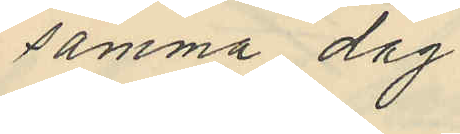samma dag
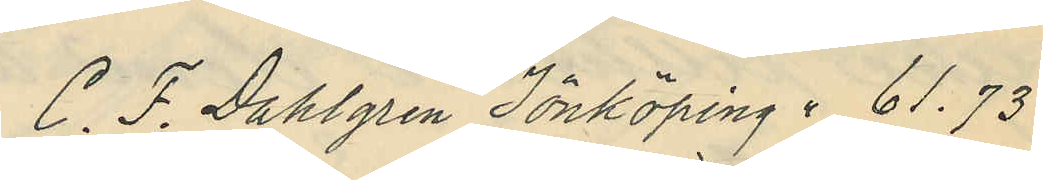C. F. Dahlgren Jönköping " 61.73
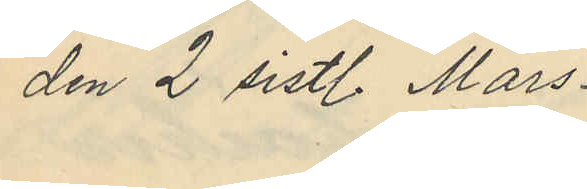den 2 sistl. Mars
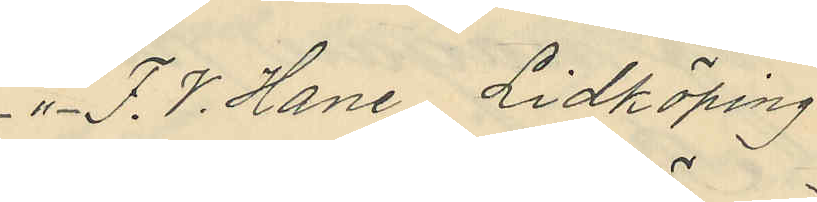 " F.V. Hane, Lidköping
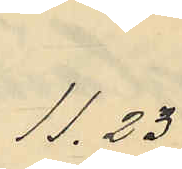11,23
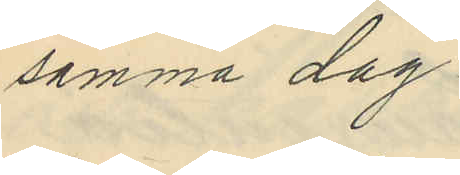samma dag
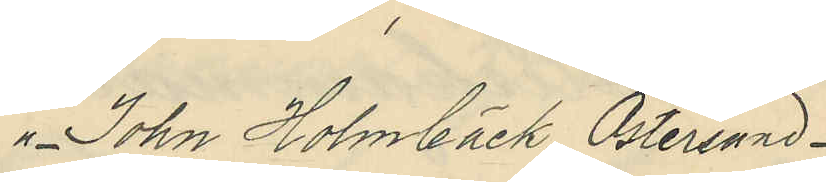" John Holmbäck, Östersund
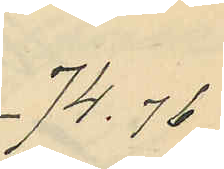74.76
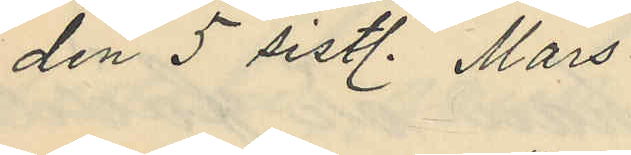den 5 sist. Mars
